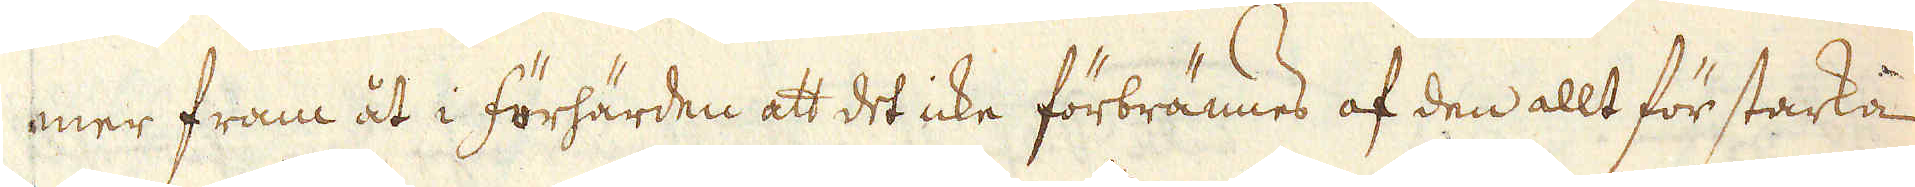mer fram åt i förhärden att det icke förbrännes af den allt för starka
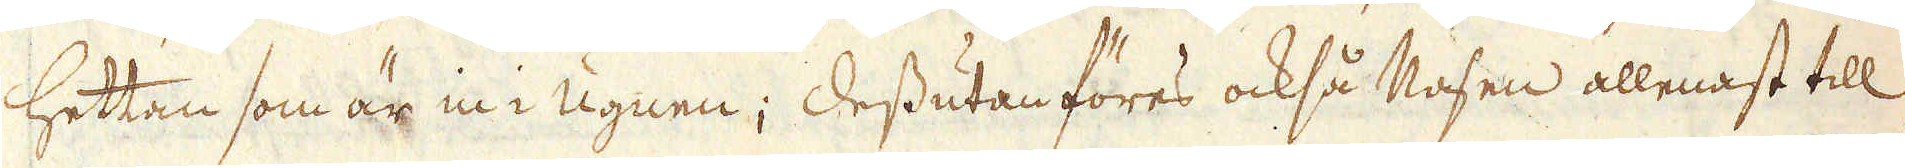hettan som är in i Ugnen; Dessutan föres också Nasen allenast till
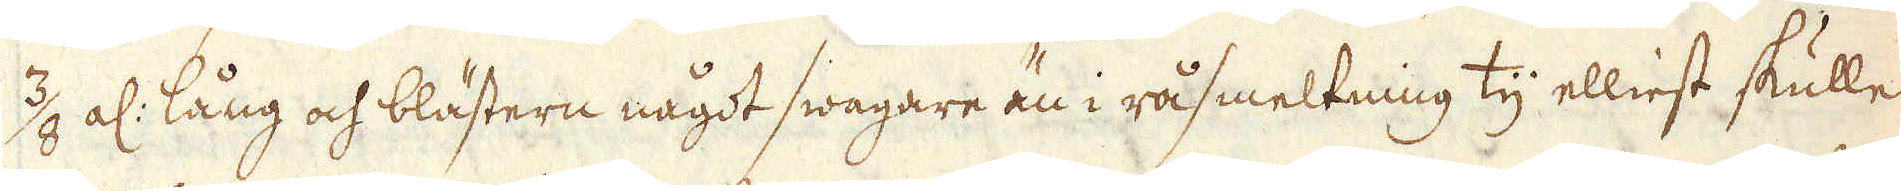3/8 al: lång och blästern något swagare än i råsmeltning ty elliest skulle
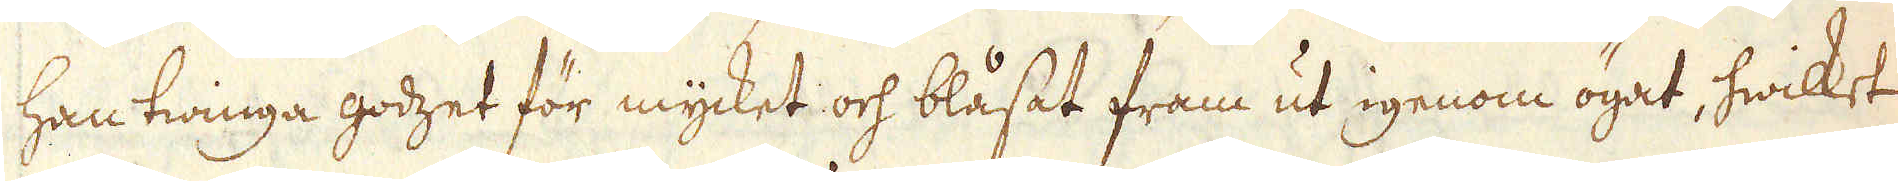han twinga godzet för mycket och blåsat fram ut igenom ögat, hwilket
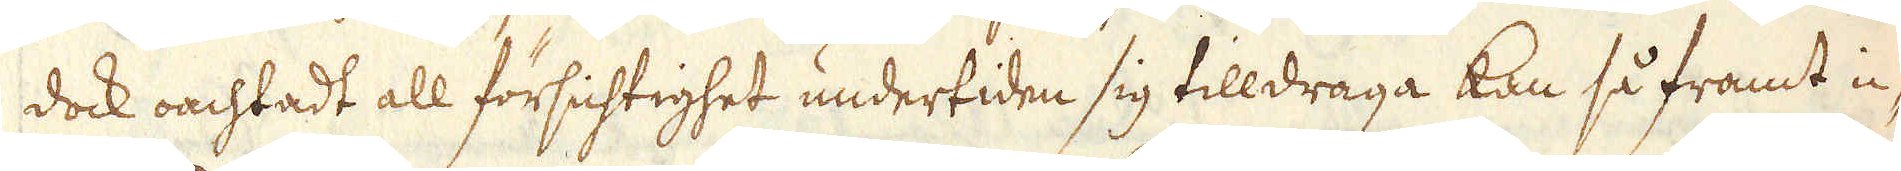dock oachtadt all försichtighet undertiden sig tilldraga kan så framt ic-
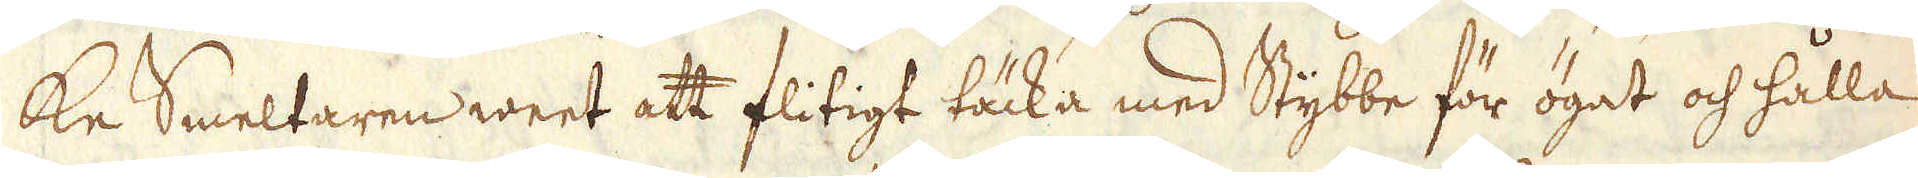ke Smeltaren weet att flitigt täcka med Stybbe för ögat och hålla
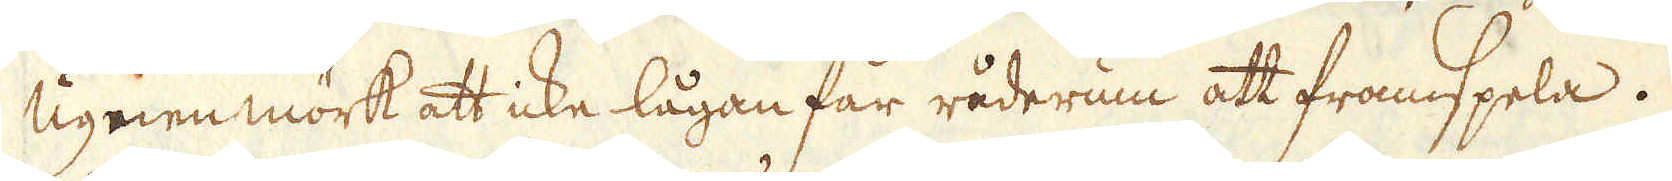Ugnen mörk att icke lågan får råderum att framspela.
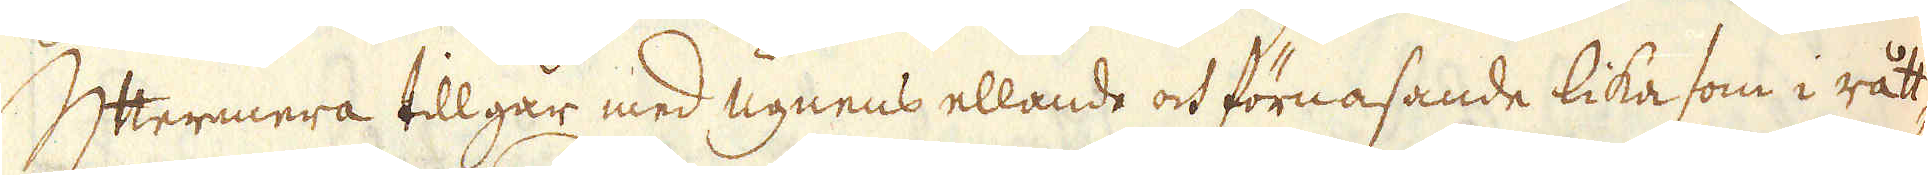Yttermera tillgår med ugnens ellande och förnasande lika som i rått-
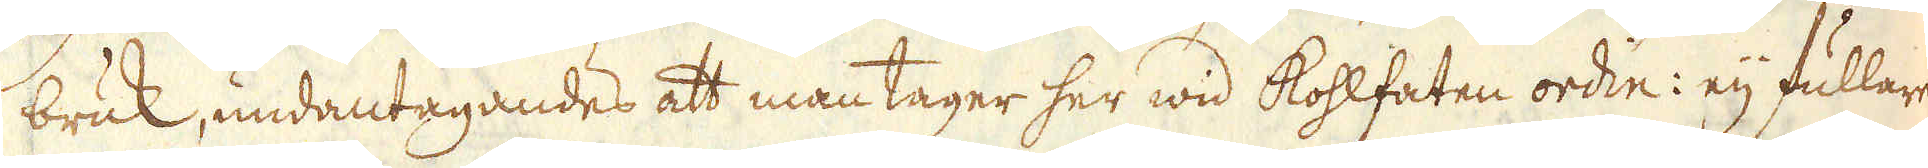bruk, undantagandes att man tager her wid kohlfaten ordin: eij fullare
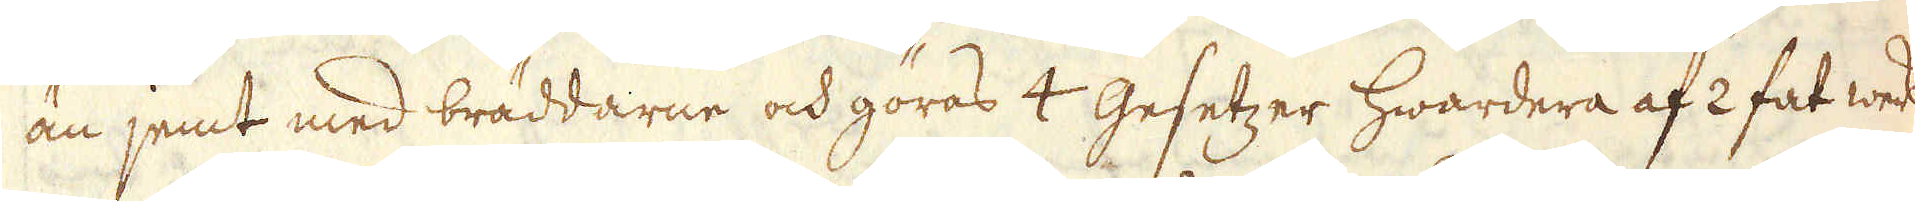än jemt med bräddarne och göras 4 Gesetzer hwardera af 2 fat werk
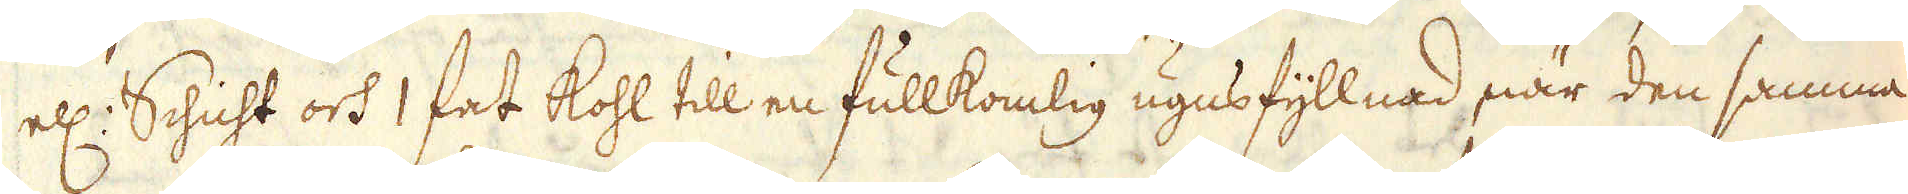ell: Schicht och 1 fat kohl till en fullkomlig ugnsfyllnad, när den samma
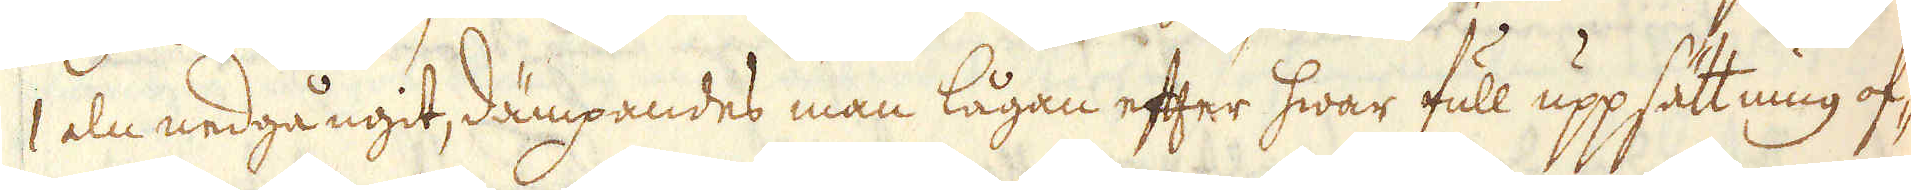1 aln nedgångit, dämpandes man lågan efter hwar full uppsättning of-
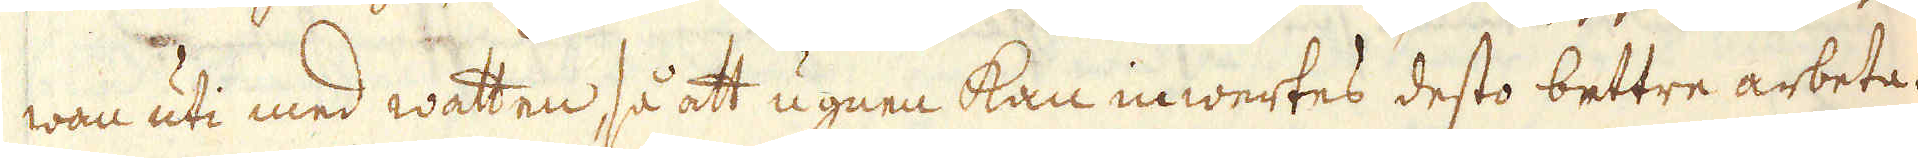wan uti med watten så att ugnen kan inwertes desto bettre arbeta
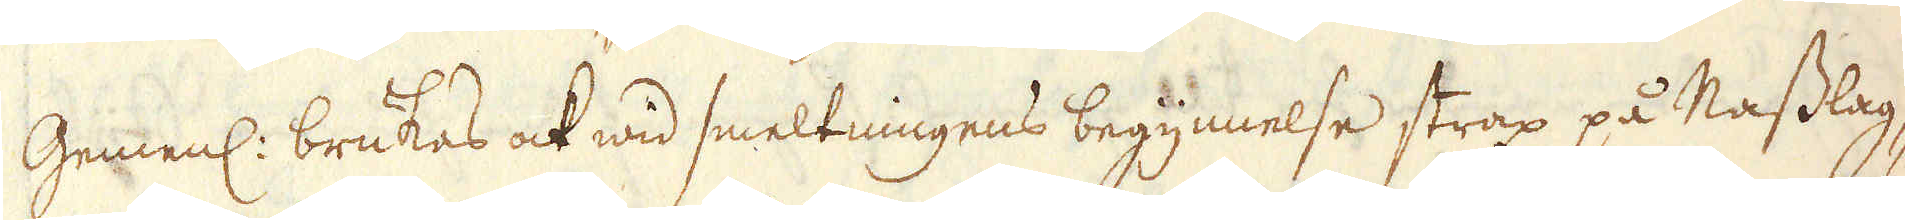Gemenl: brukas ock wid smeltningens begynnelse strax på Nasslag-
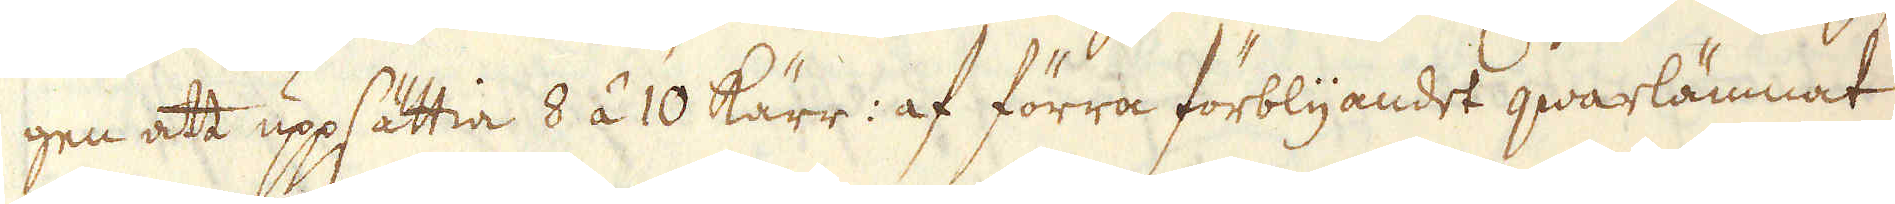gen att uppsättia 8 á 10 kärr: af förra förblyandet qwarlämnat
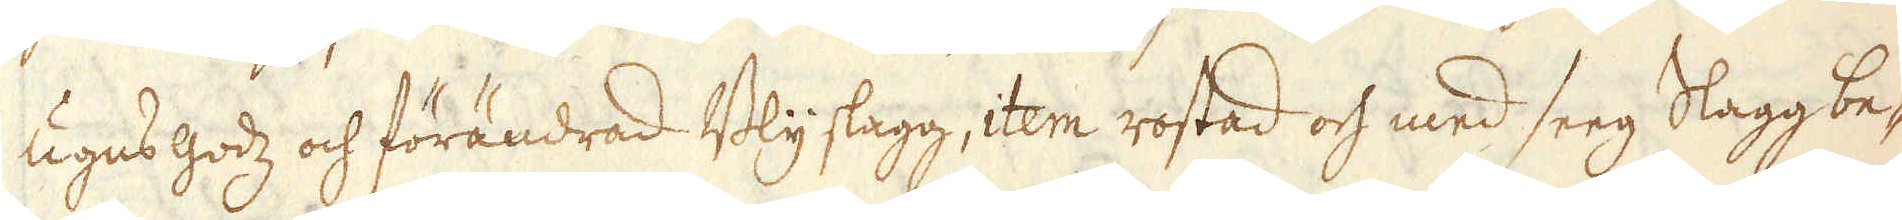ugnsgodz och förändrad Bly slagg, item rostad och med seeg Slagg be-
